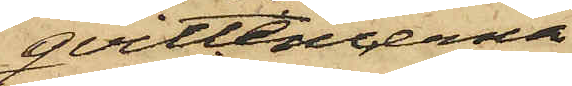qvittencerna
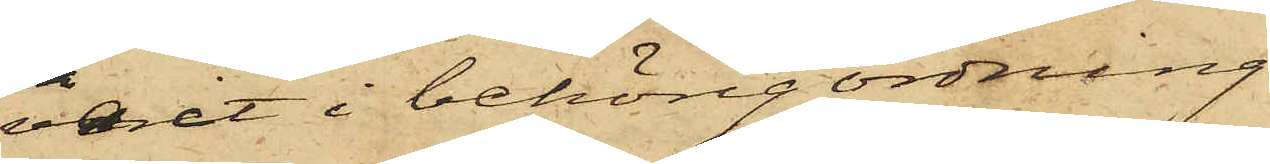varit i behörig ordning
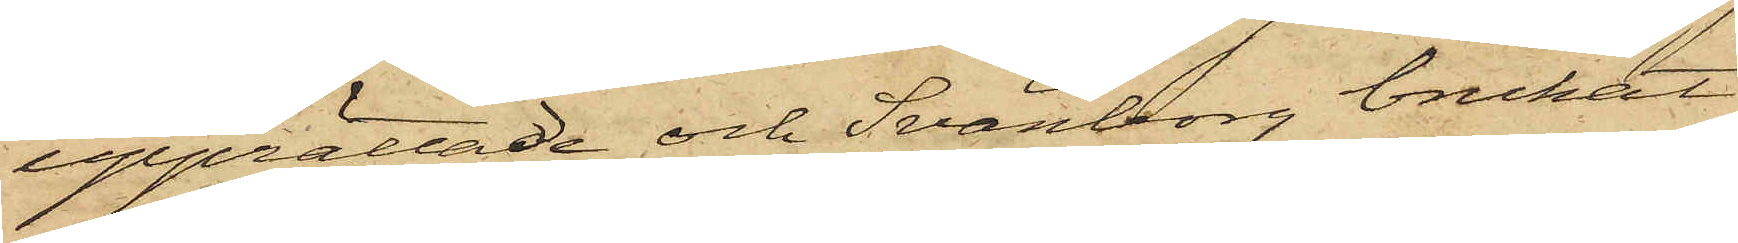upprättade och Svänborg brukat
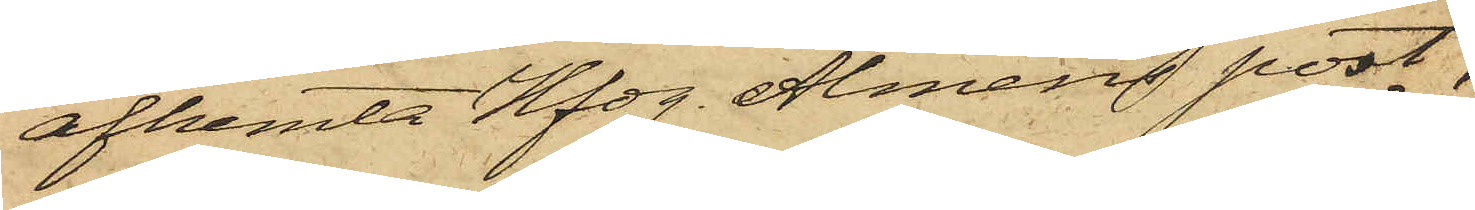afhemta Hfdg Alméns post,
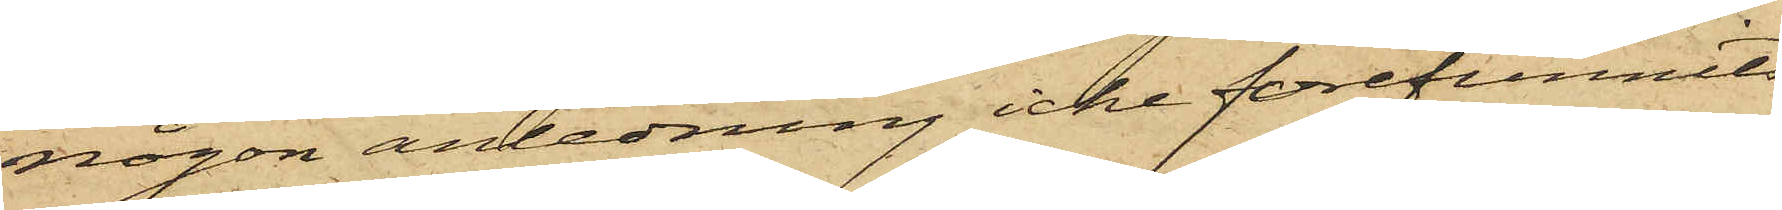någon anledning icke förefunnits
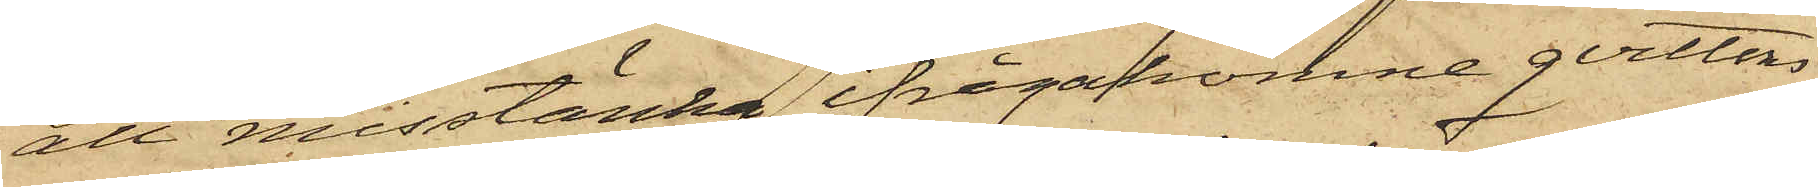att misstänka ifrågakomne qvittons
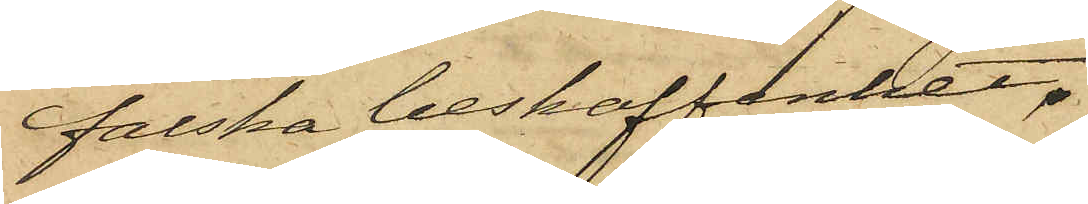falska beskaffenhet.
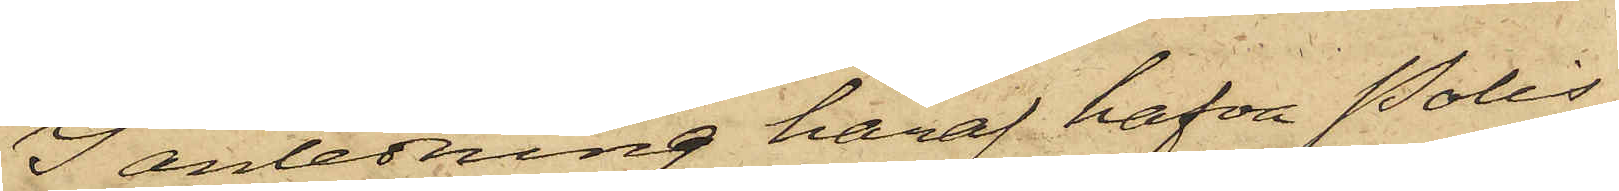I anledning häraf hafva Polis¬
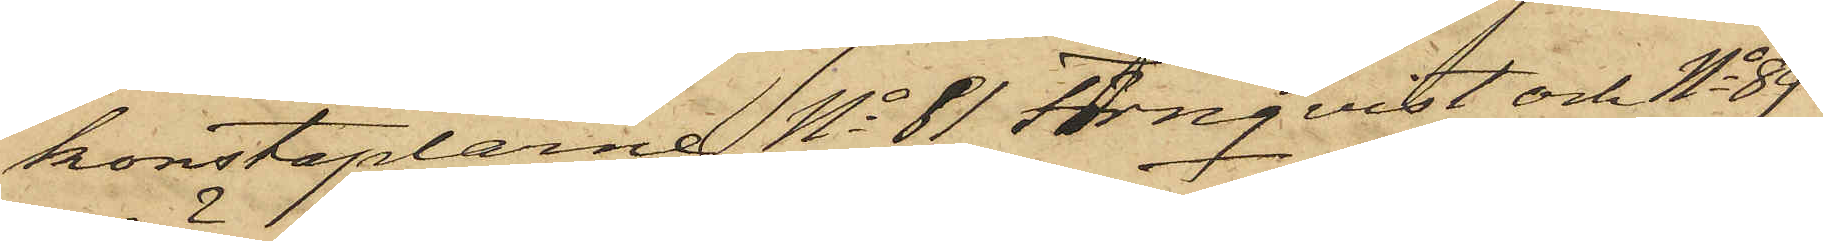konstaplarne No 81 Törnqvist och No 89
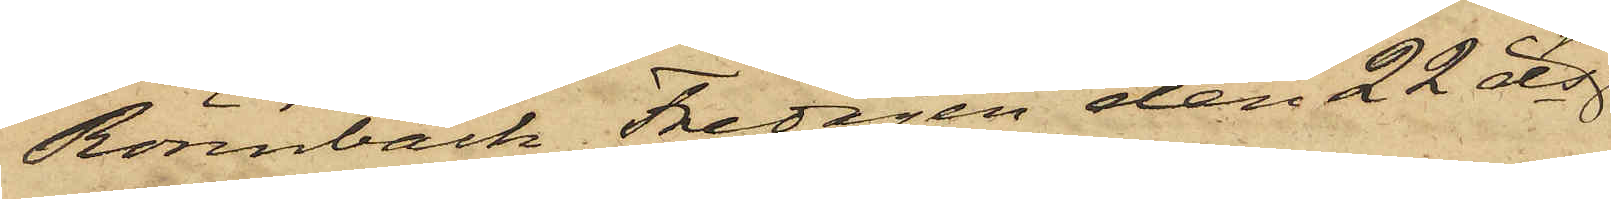Rönnbäck Fredagen den 22 ds
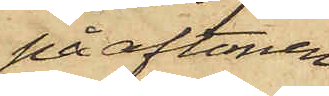på aftonen
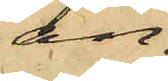an¬
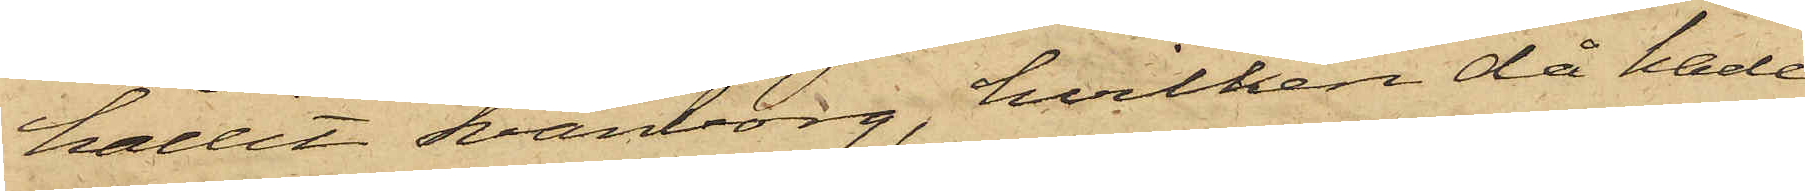hållit Svänborg, hvilken då hade
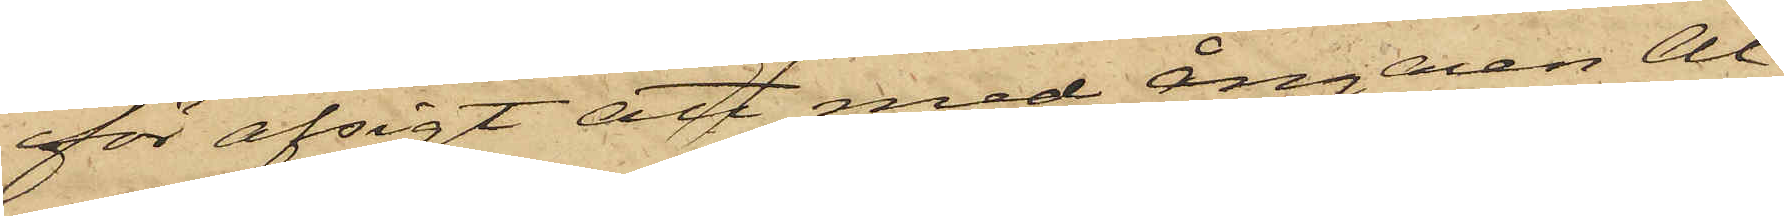för afsigt att med Ångaren Al¬
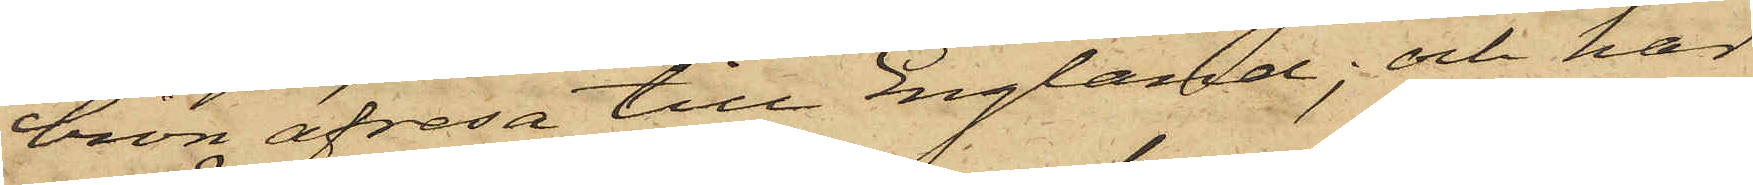bion afresa till England; och har
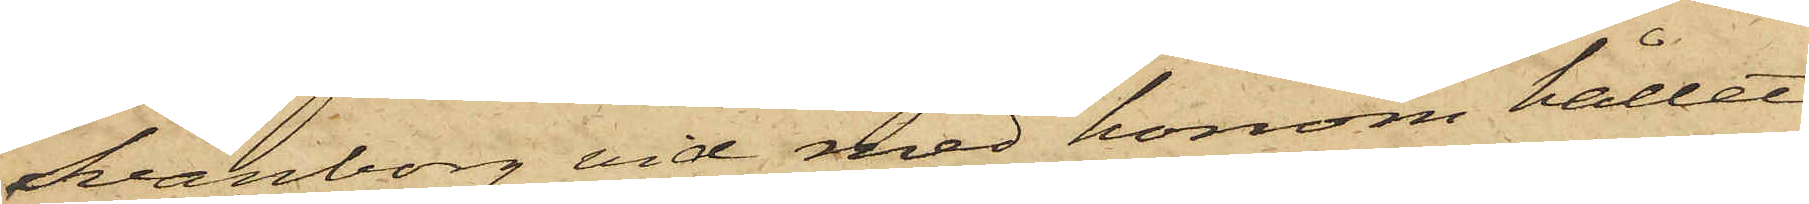Svänborg vid med honom hållet
